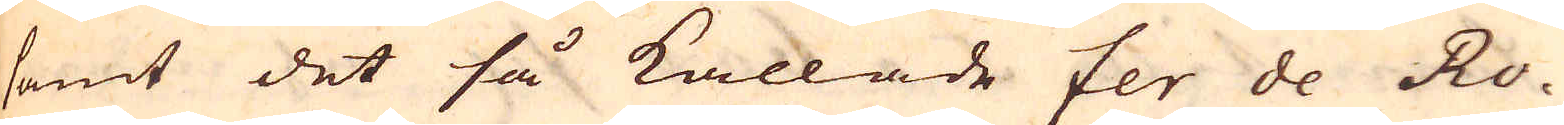samt det så kallade fer de Ro-
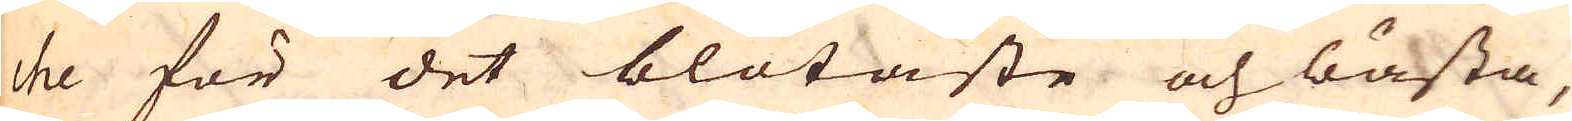che för det blötaste och bästa,
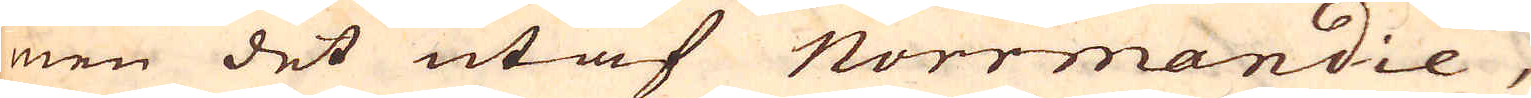men det utaf Norrmandie,
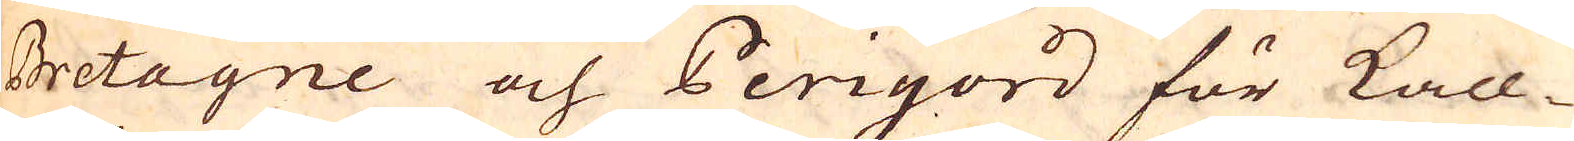Bretagne och Perigord för kall-
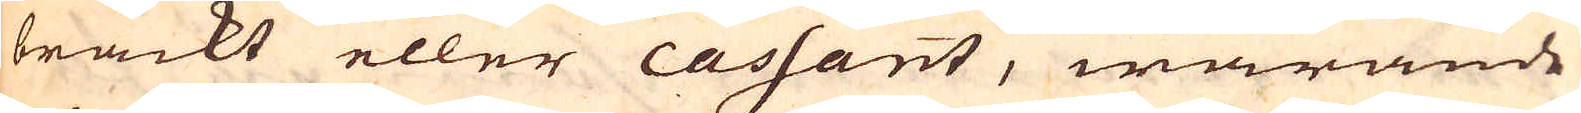bräckt eller cassant, warande
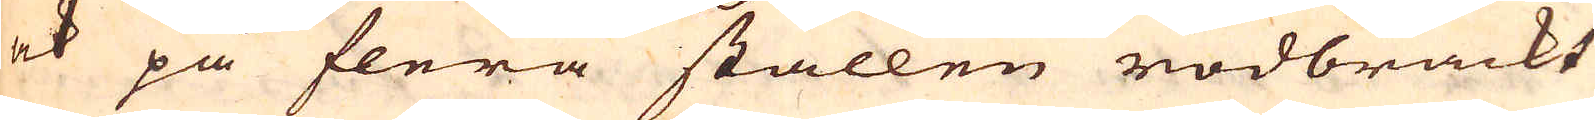ock på flera ställen rödbräckt
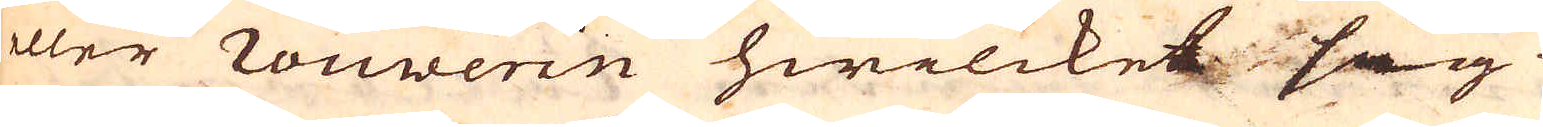eller rouwerin hwilcket sig
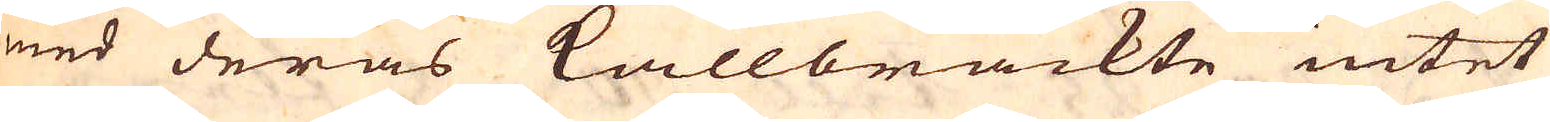med deras kallbräckte intet
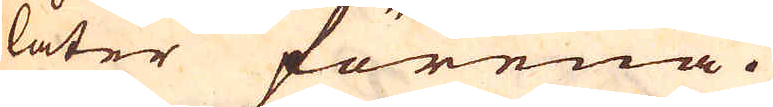låter förena.
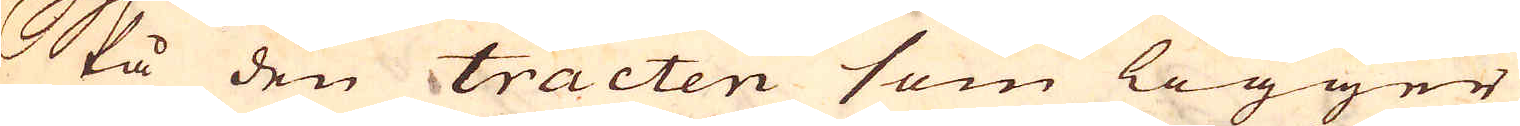På den tracten som ligger
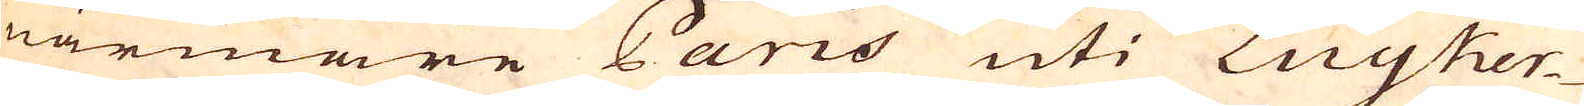närmare Paris uti Luyker-
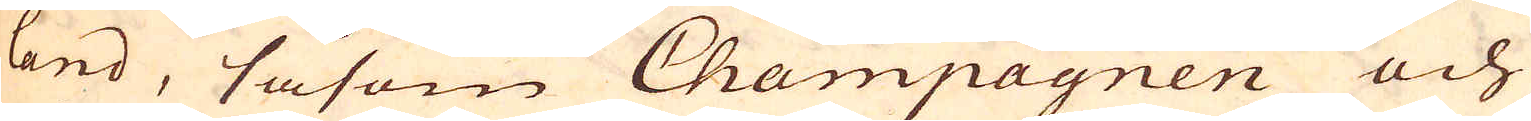land, såsom Champagnen och
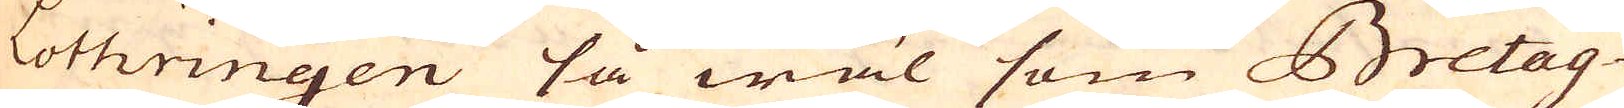Lothringen så wäl som Bretag-
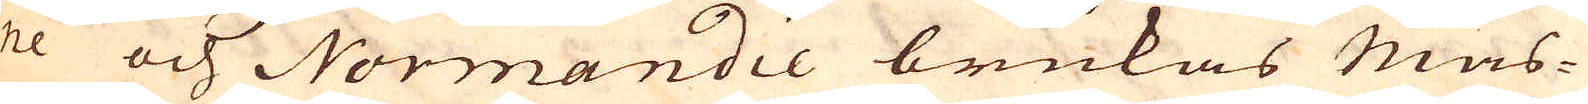ne och Normandie brukas mas-
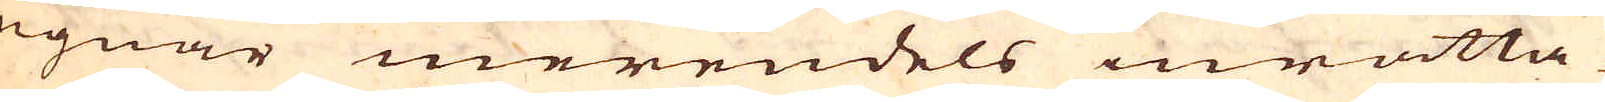ugnar merendels inrätta-
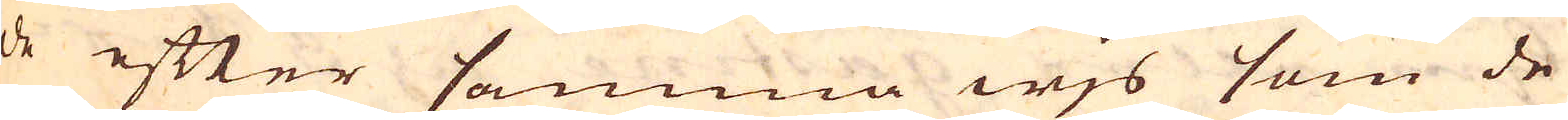de efter samma wjs som de
